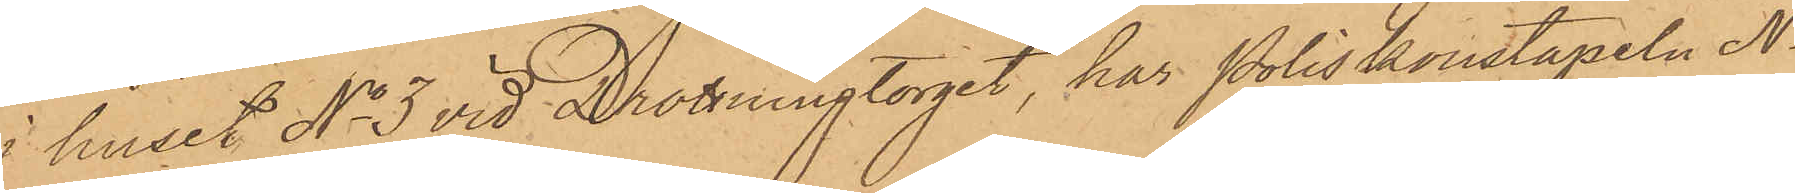i huset No 3 vid Drottningtorget, har Poliskonstapeln No
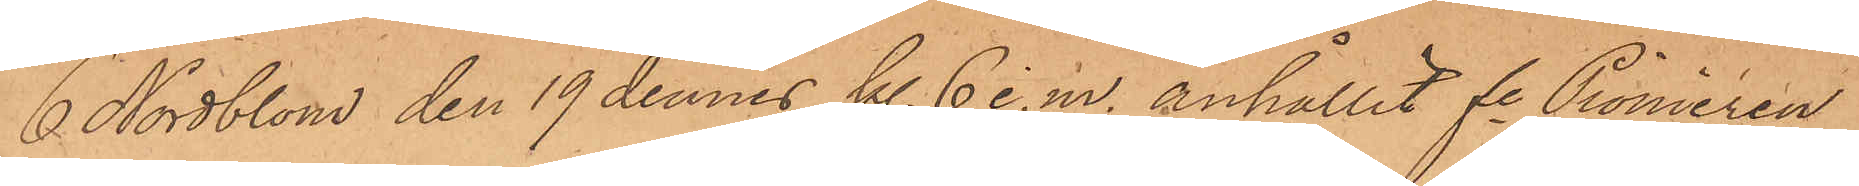6 Nordblom den 19 dennes kl 6 e. m. anhållit fe Pionieren
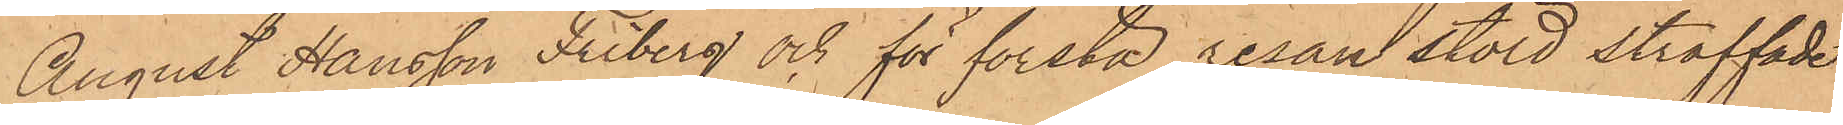August Hansson Friberg och för första resan stöld straffade
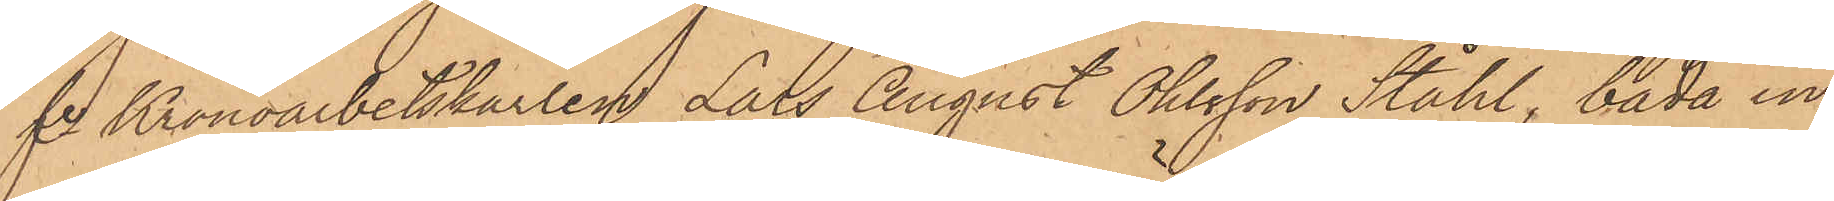fre Kronoarbetskarlen Lars August Ohlsson Ståhl, båda in¬
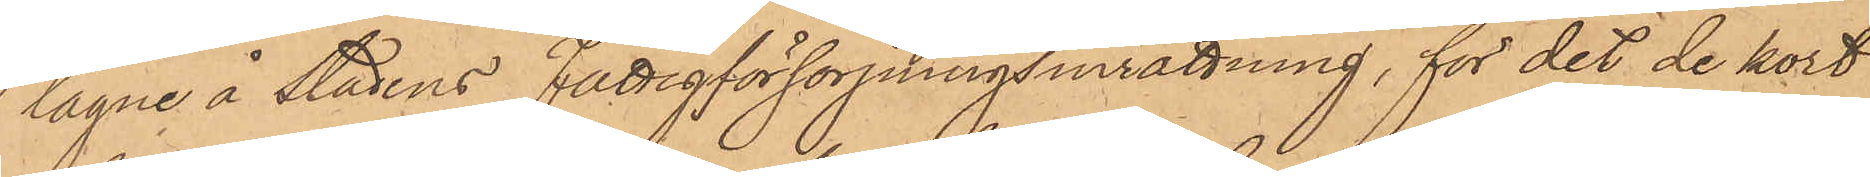tagne å stadens Fattigförsörjningsinrättning, för det de kort
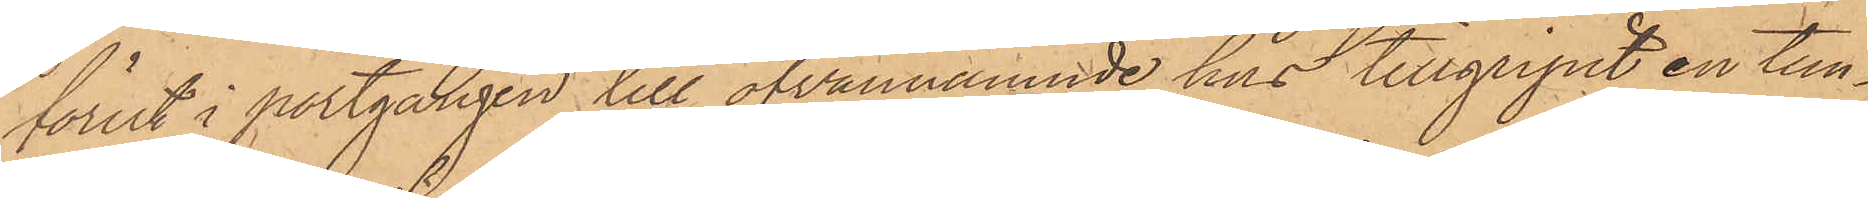förut i portgången till ofvannämnde hus tillgripit en tun¬
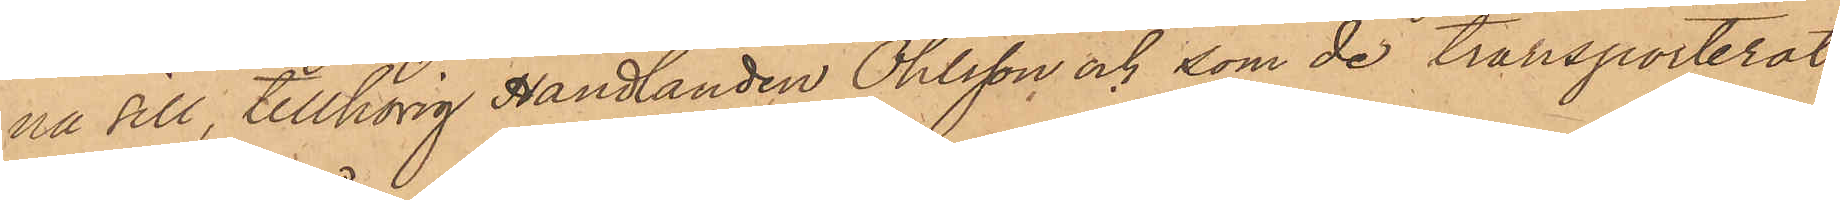na sill, tillhörig Handlanden Ohlsson och som de transporterat
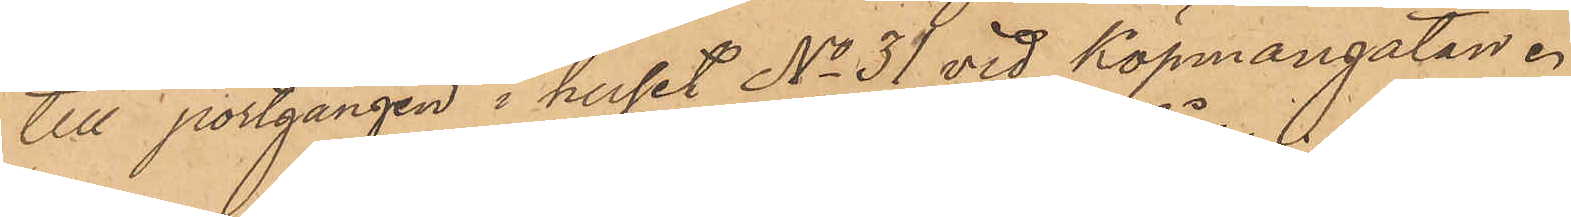till portgången i huset No 31 vid Köpmangatan.
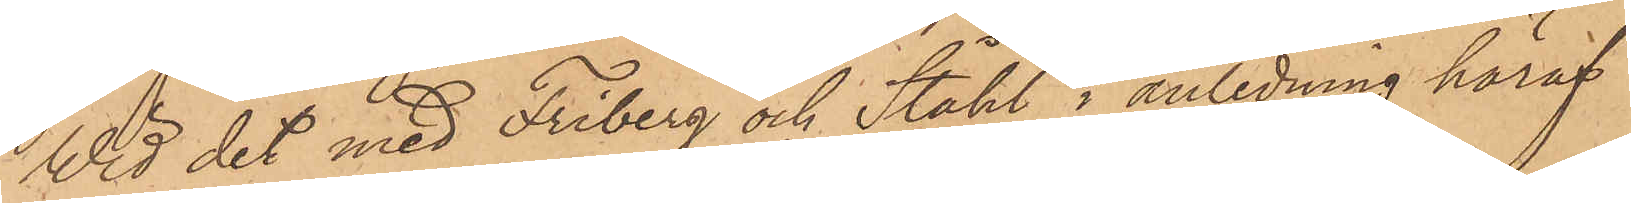Vid det med Friberg och Ståhl i anledning häraf
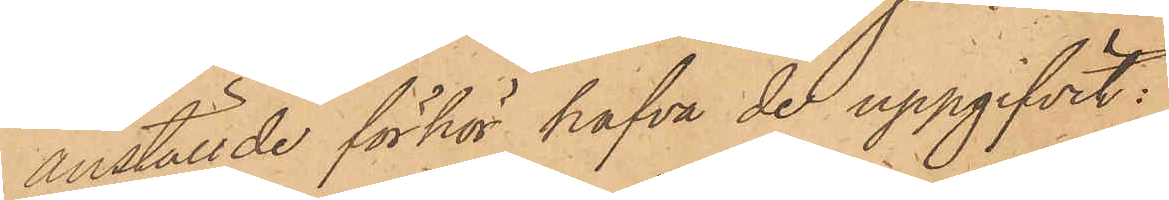anställde förhör hafva de uppgifvit:
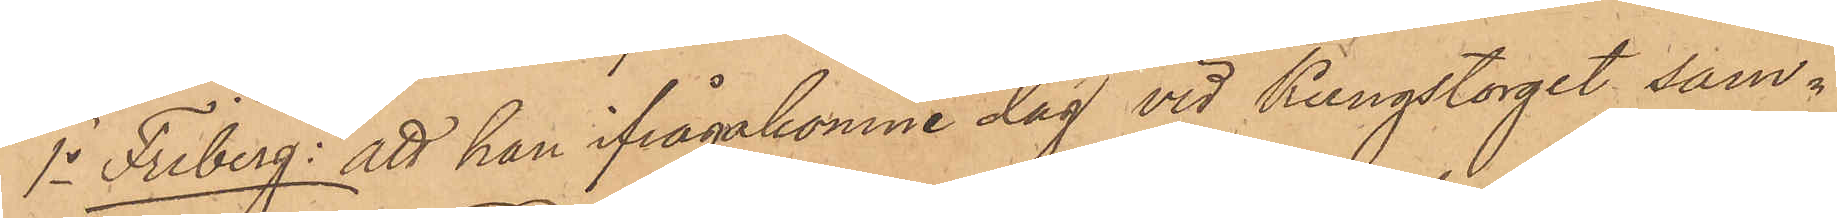1o Friberg: att han ifrågakomne dag vid Kungstorget sam¬
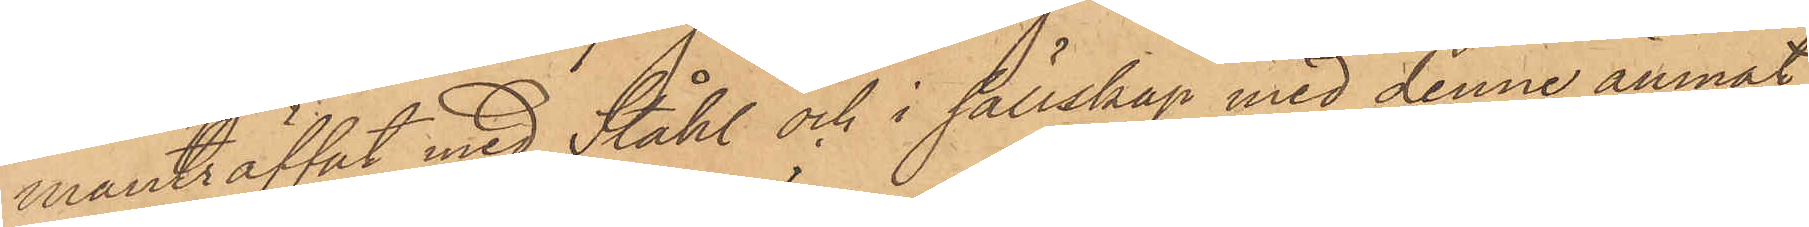manträffat med Ståhl och i sällskap med denne ämnat
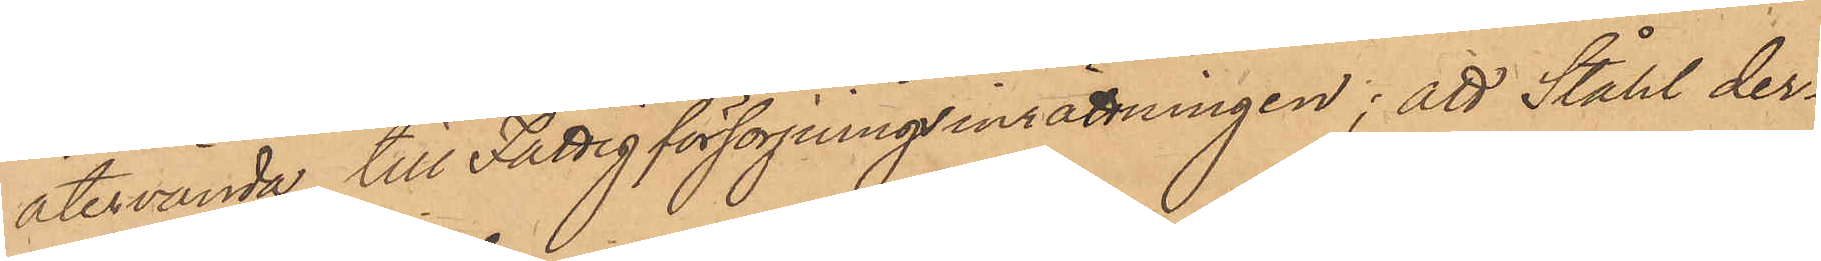återvända till Fattigförsörjningsinrättningen; att Ståhl der¬
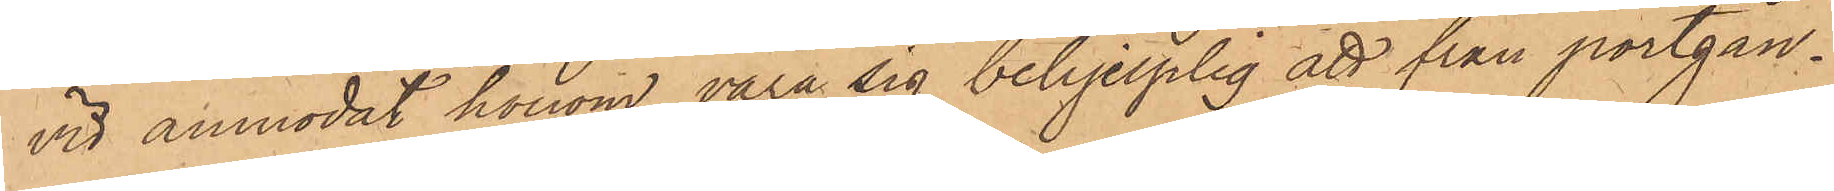vid anmodat honom vara sig behjelplig att från portgån¬
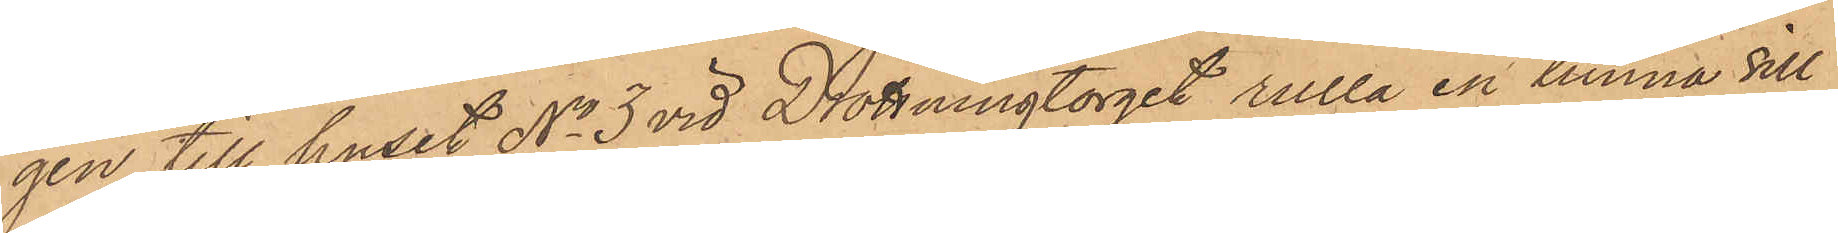gen till huset No 3 vid Drottningtorget rulla en tunna sill
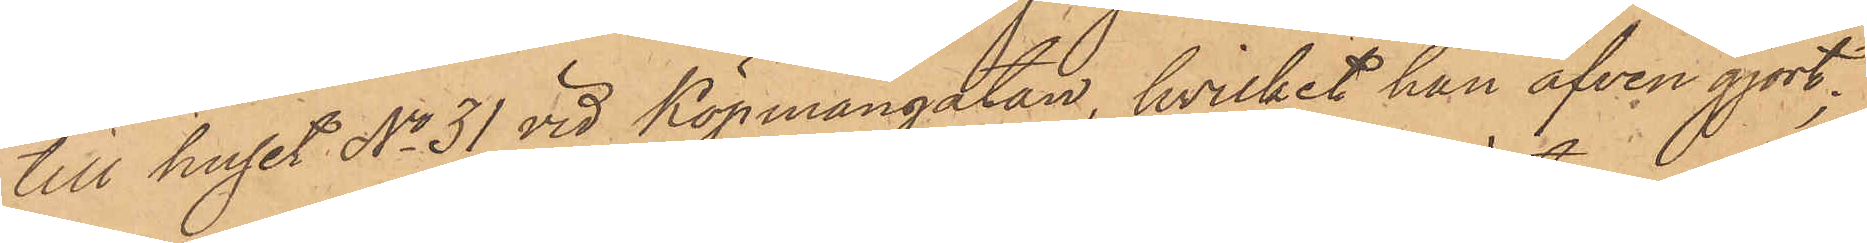till huset No 31 vid Köpmangatan, hvilket han äfven gjort;
